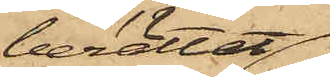berättat,
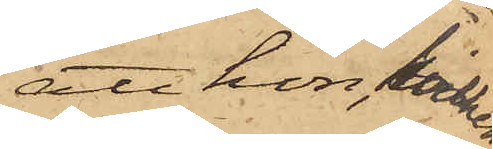att hon, hvilken
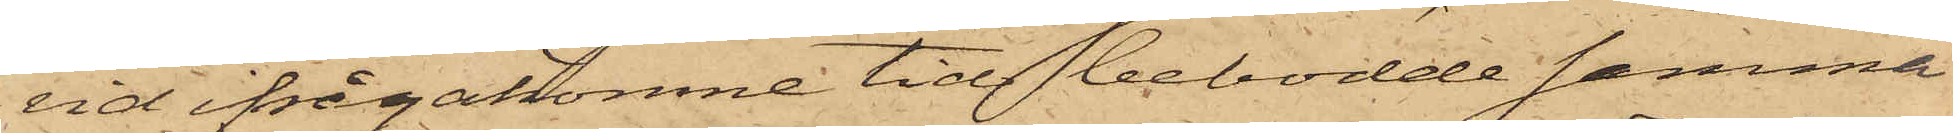vid ifrågakomne tid bebodde samma
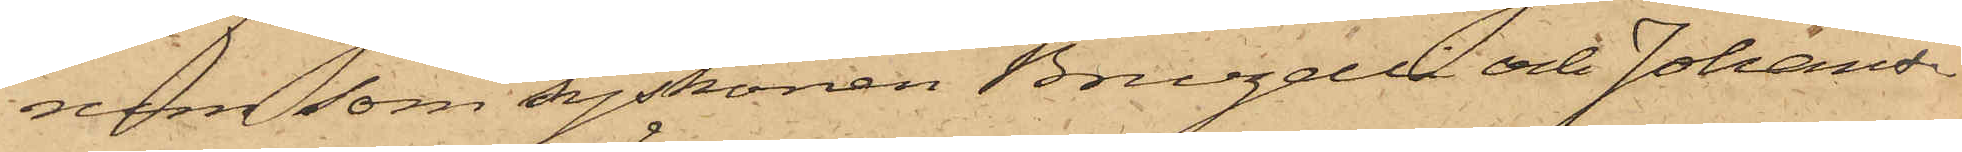rum som syskonen Bruzelli och Johans¬
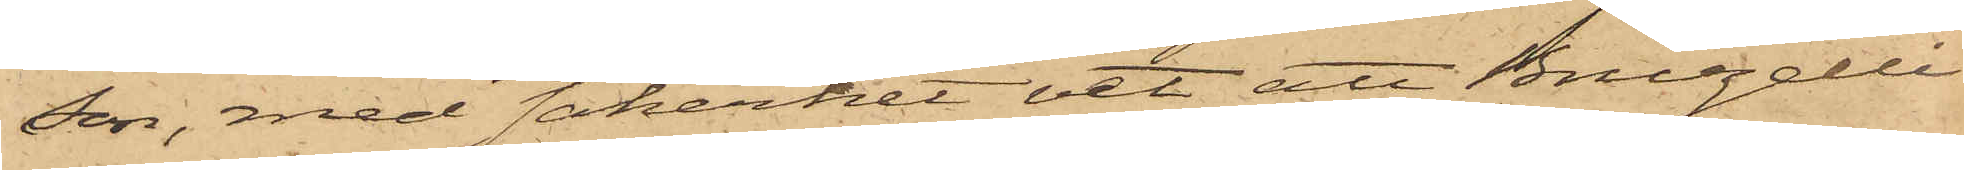son, med säkerhet vet att Bruzelli
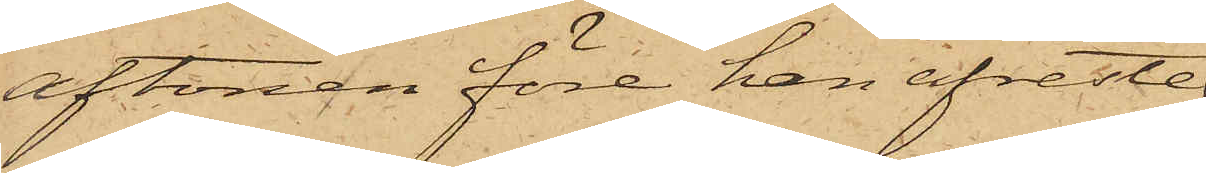aftonen före han afreste
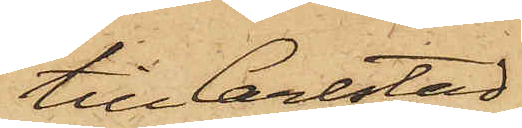till Carlstad
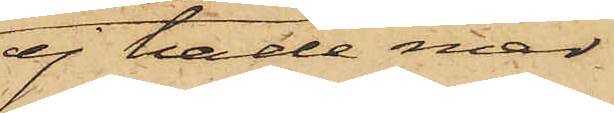ej hade med
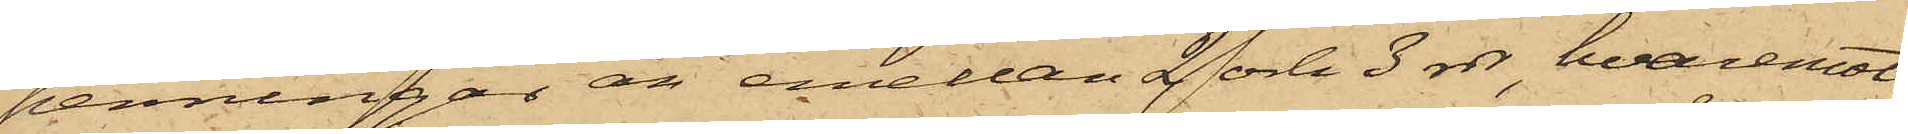penningar än emellan 2 och 3 rdr, hvaremot
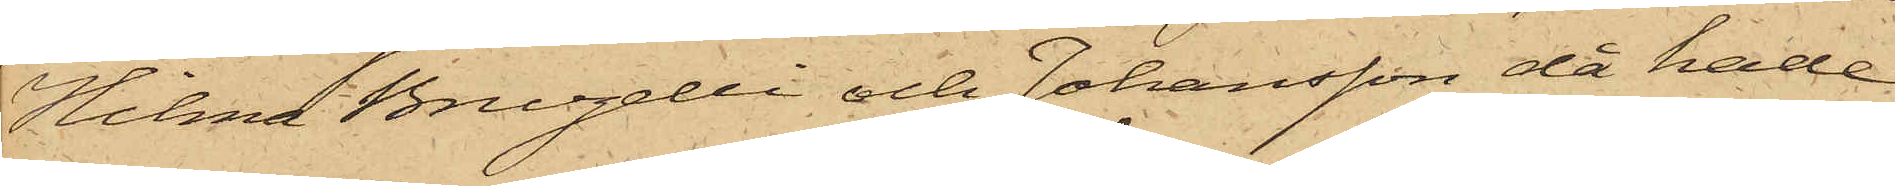Hilma Bruzelli och Johansson då hade
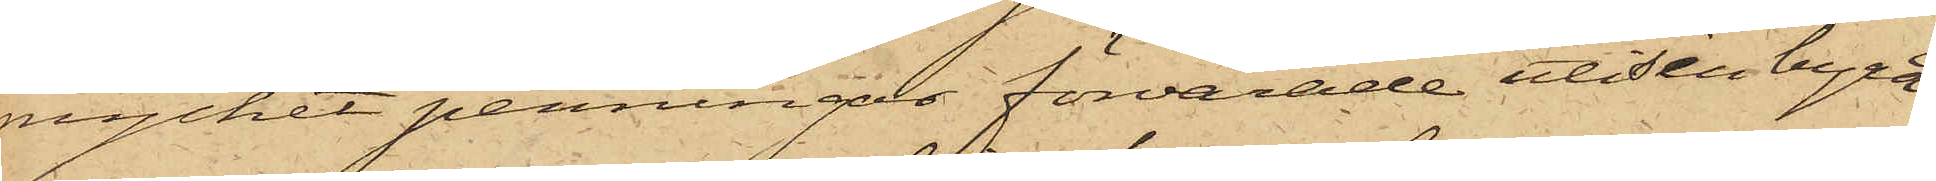mycket penningar förvarade uti sin byrå
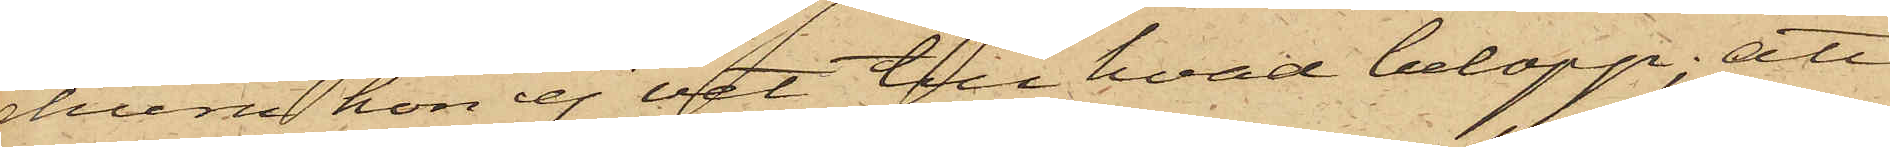ehuru hon ej vet till hvad belopp; att
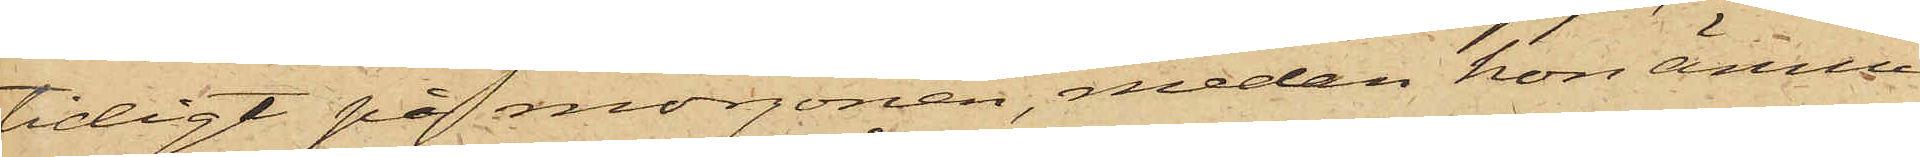tidigt på morgonen, medan hon ännu
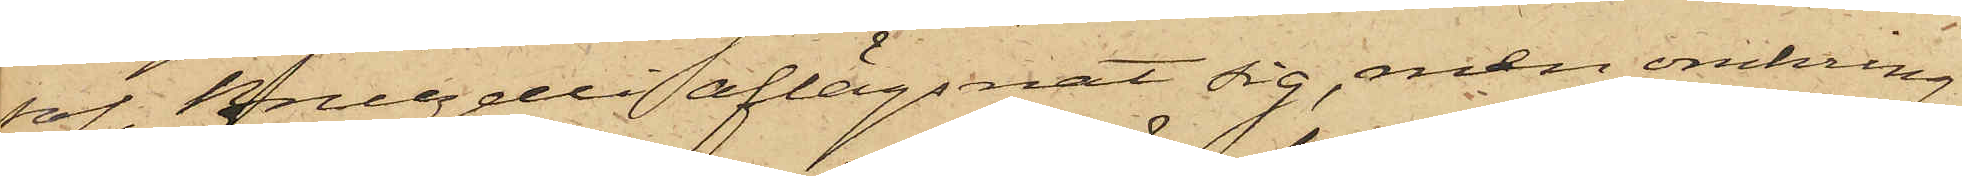sof, Bruzelli aflägsnat sig, men omkring
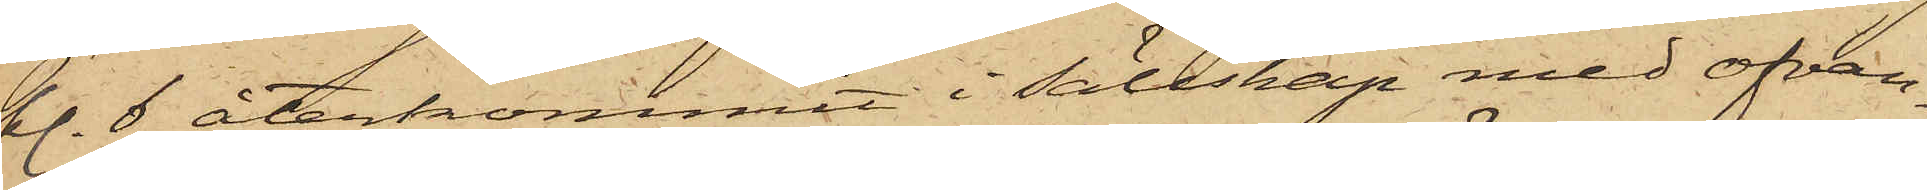kl. 6 återkommit i sällskap med ofvan¬
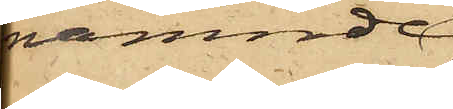nämnde
